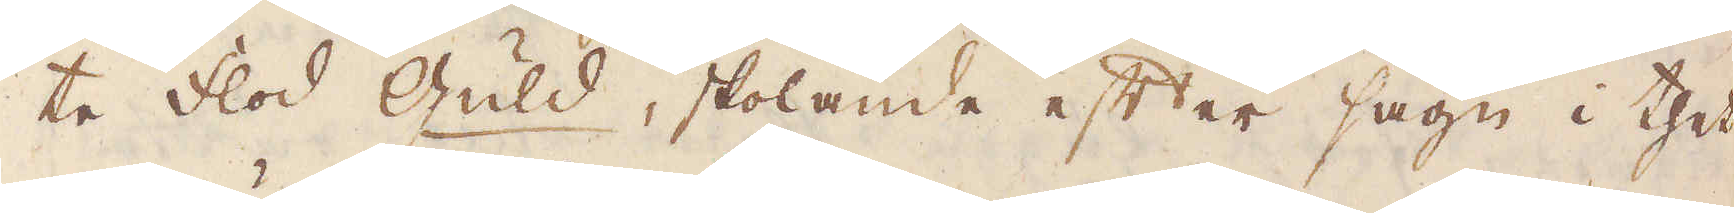te flod Guld, skolande efter sägn i thet
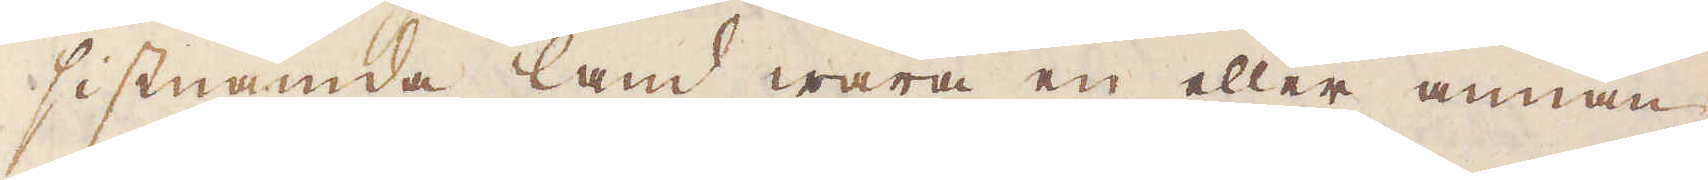sistnämde land wara en eller annan
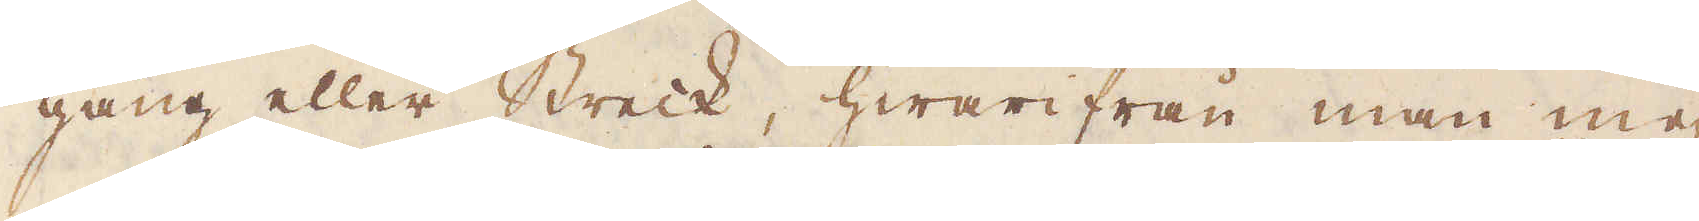gång eller Streck, hwarifrån man me-
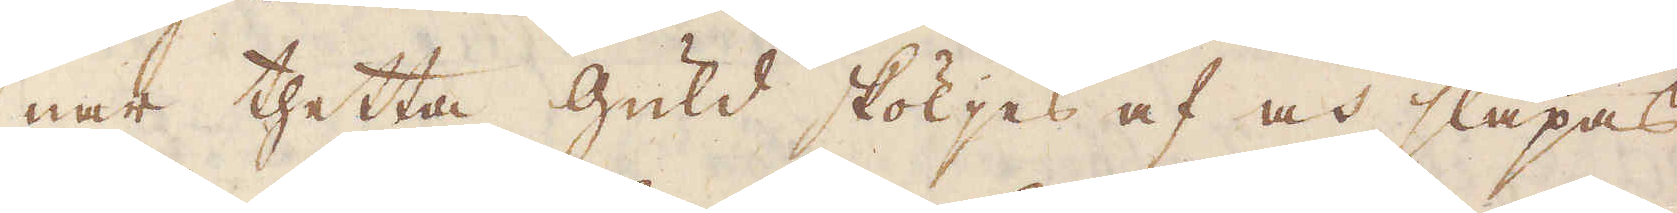nar thetta Guld sköljes af och släpas
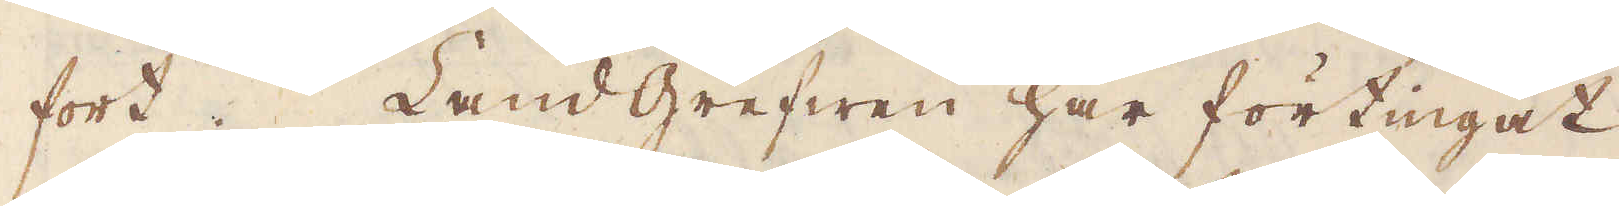fort. Land Grefwen har förtingat
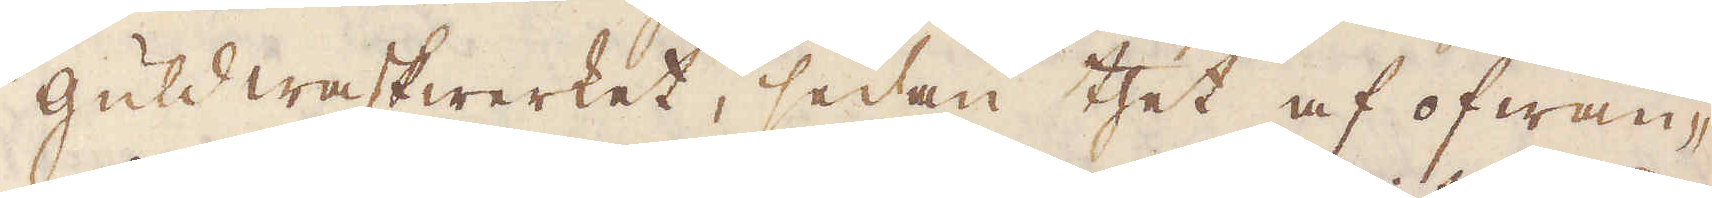guldwaskwerket, sedan thet af ofwan-
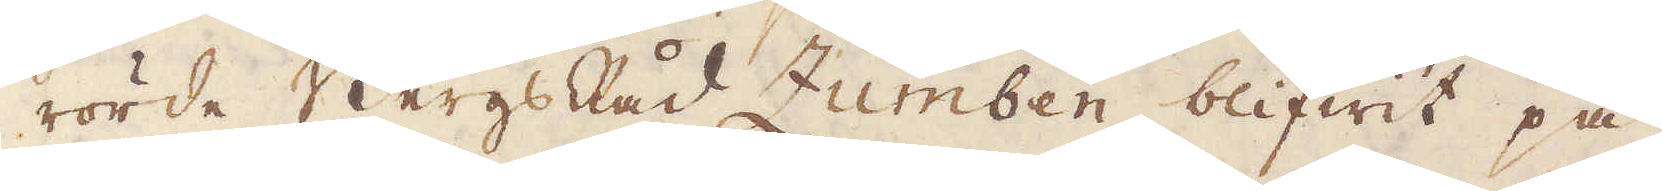rörde Bergsåd Zumben blifwit på
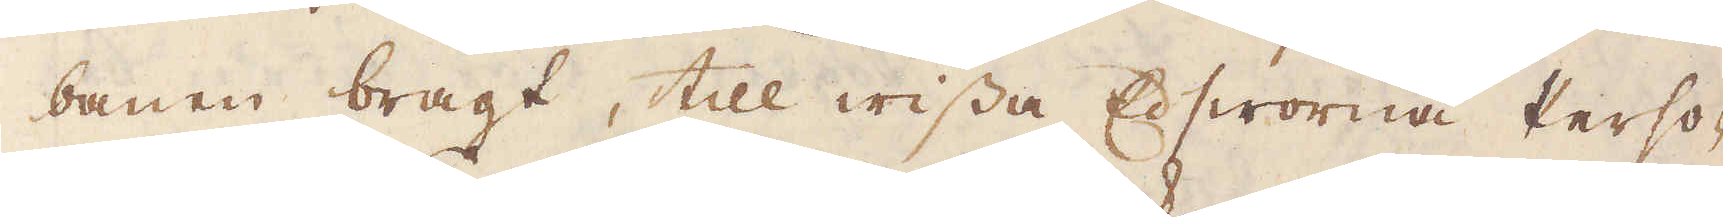banen bragt, till wissa Ed sworna Perso-
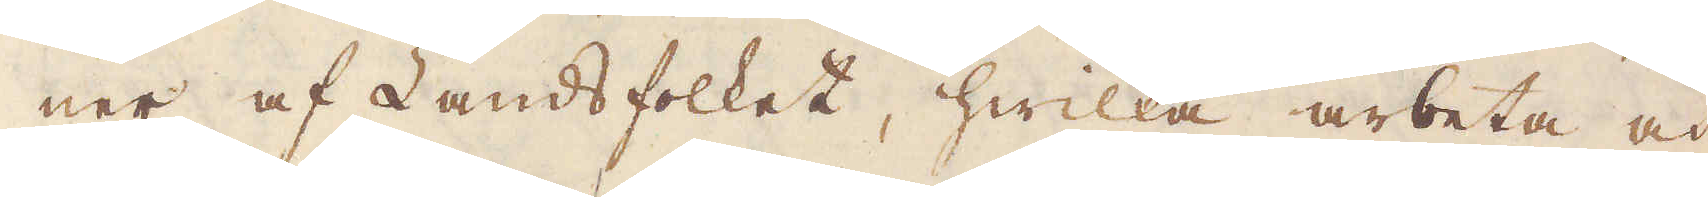ner af Landsfolket, hwilka arbeta och
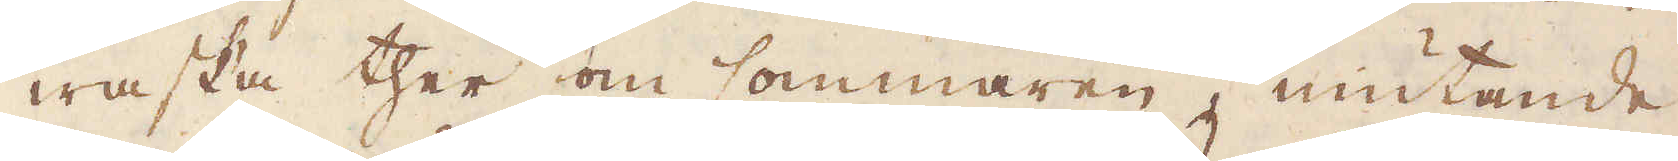waska ther om sommaren, niutande
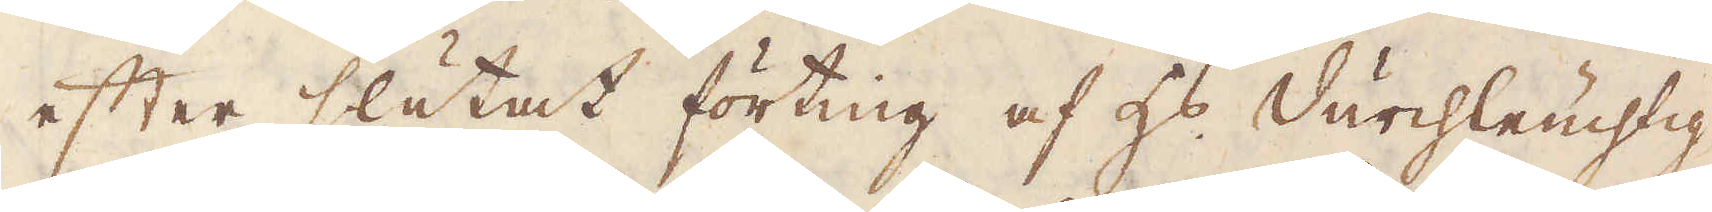efter slutat förting af H:s Durchleuchtig-
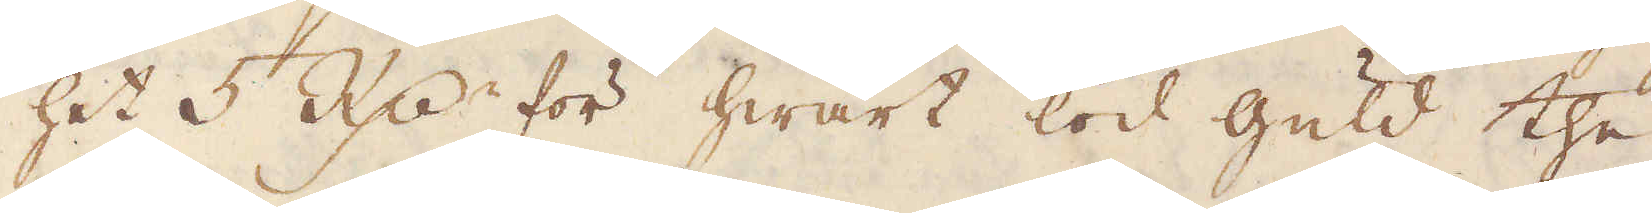het 5 R:dr för hwart lod Guld the
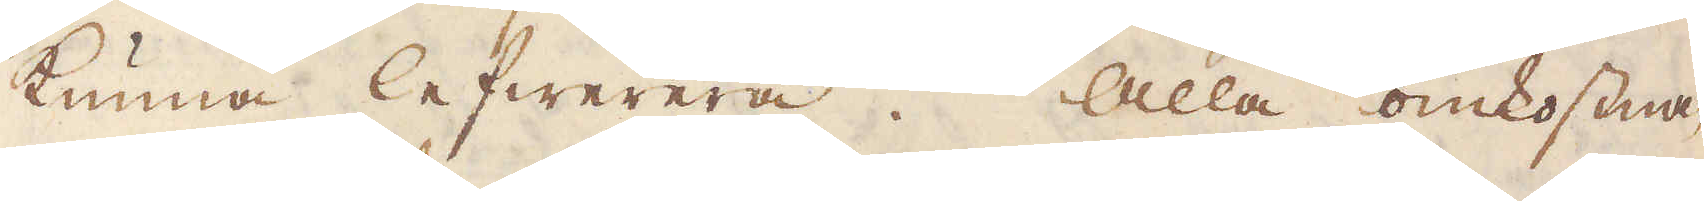kunna lefwerera. Alla omkostna-
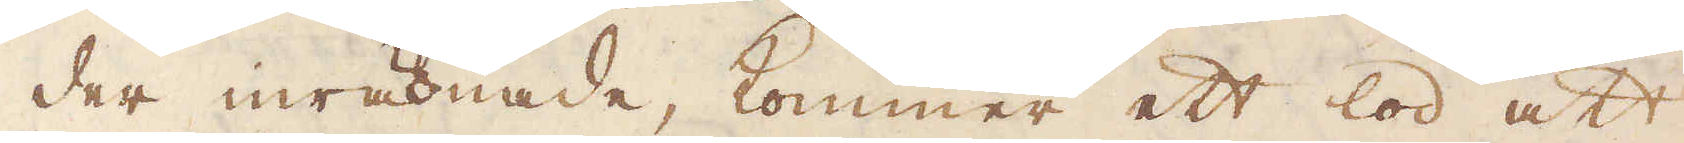der inräknade, kommer ett lod att
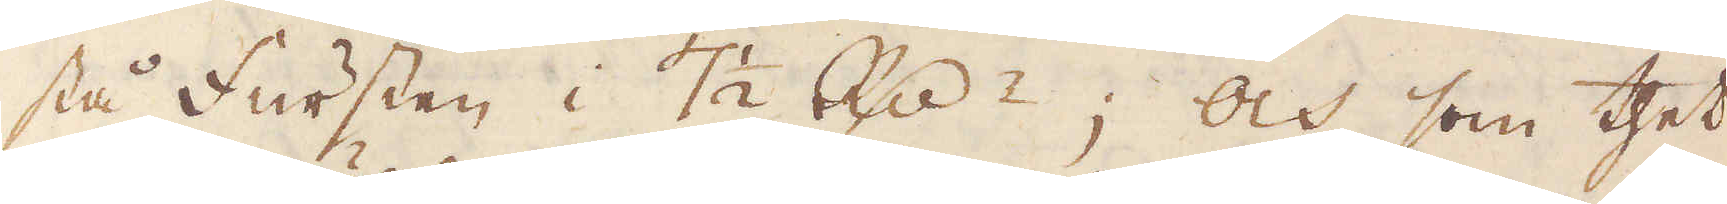stå Fursten i 7 1/2 R:dr; och som thet
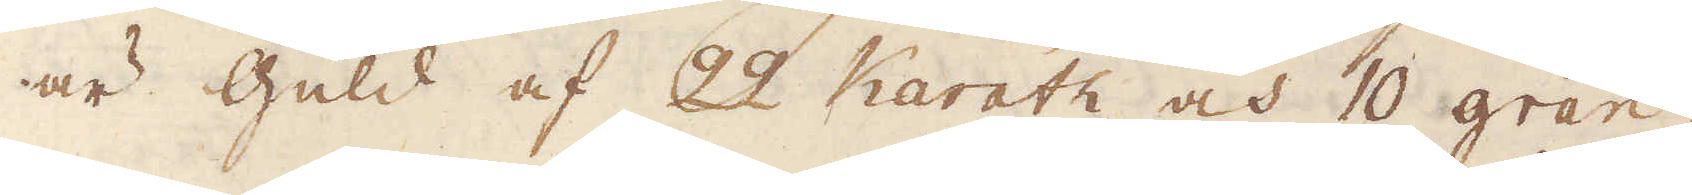är Guld af 22 Karath och 10 gran,
